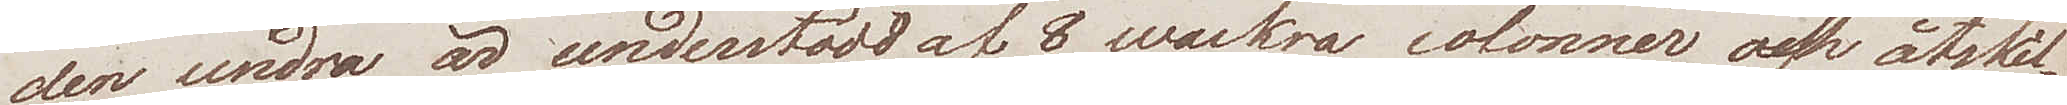den undra är understödd af 8 wackra colonner och åtskil¬
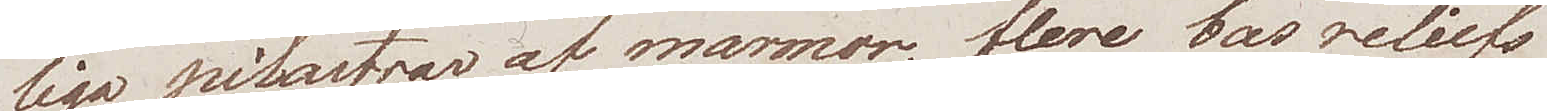liga pilastrar af marmor, flere bas reliefs
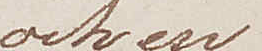och en
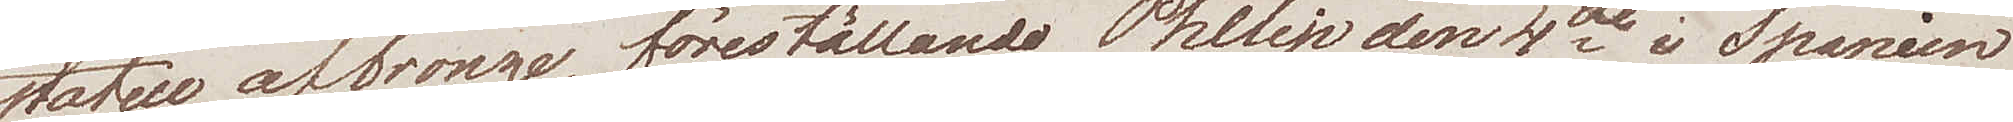statue af bronze, föreställande Philip den 4de i Spanien
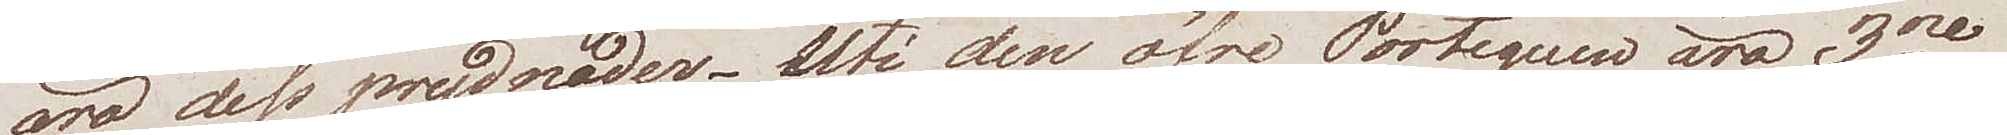äro dess prydnader. - Uti den öfre Portiquen äro 3ne
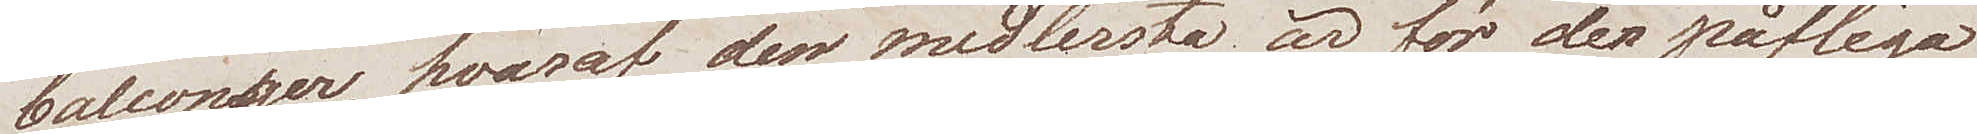balconger, hvaraf den medlersta är för den påfliga
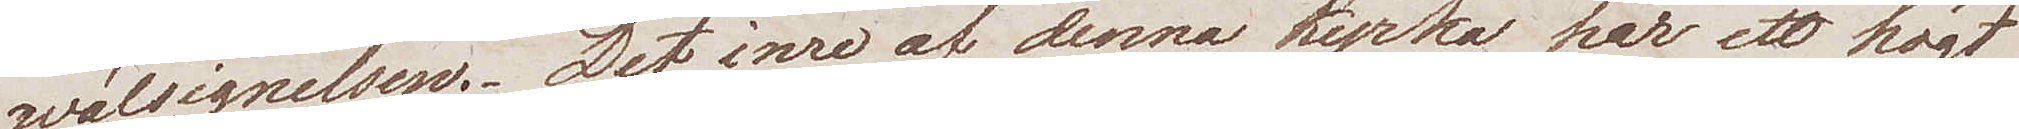wälsignelsen.- Det inre af denna kyrka har ett högt
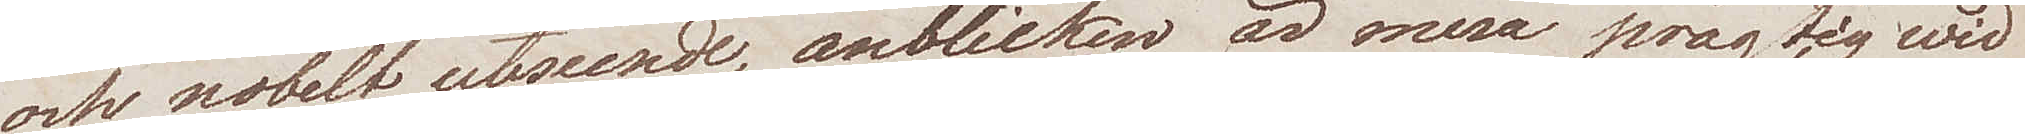och nobelt utseende, anblicken är mera prägtig wid
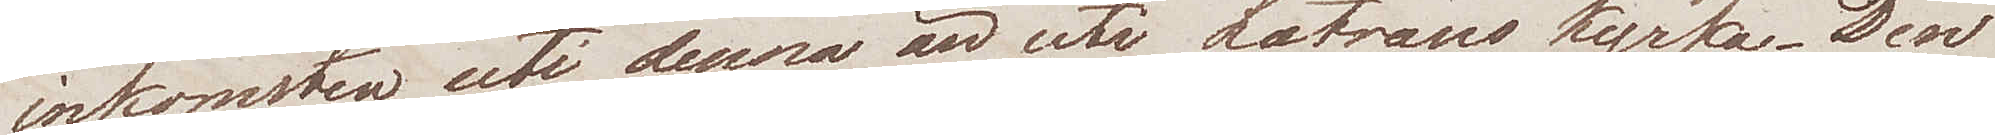inkomsten uti denna än uti Latrano kyrka. Den
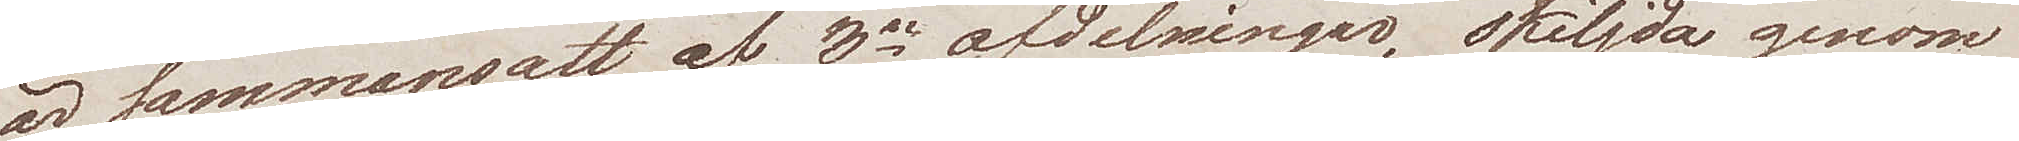är sammansatt af 3ne afdelningar, skiljda genom
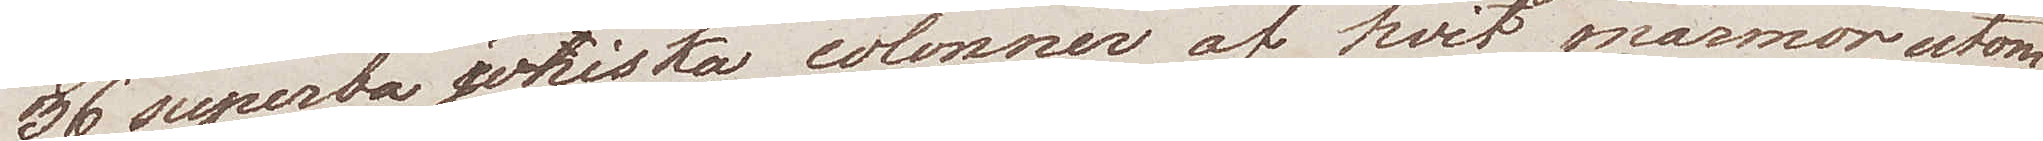36 superba joniska colonner af hvit marmor, utom 
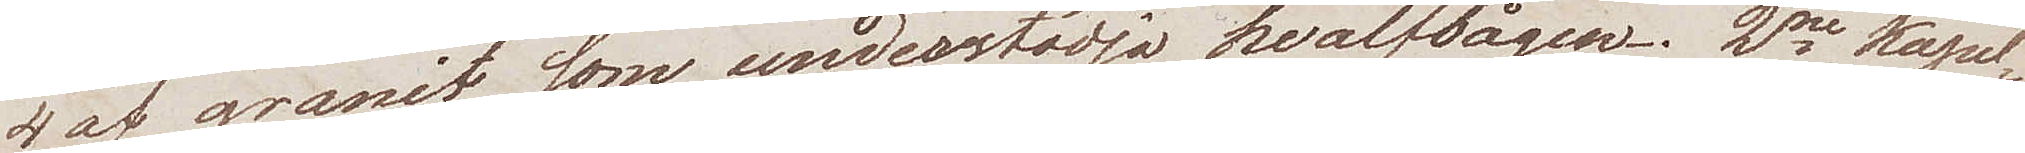4 af granit som understödja hvalfbågen. 2ne Kapel¬
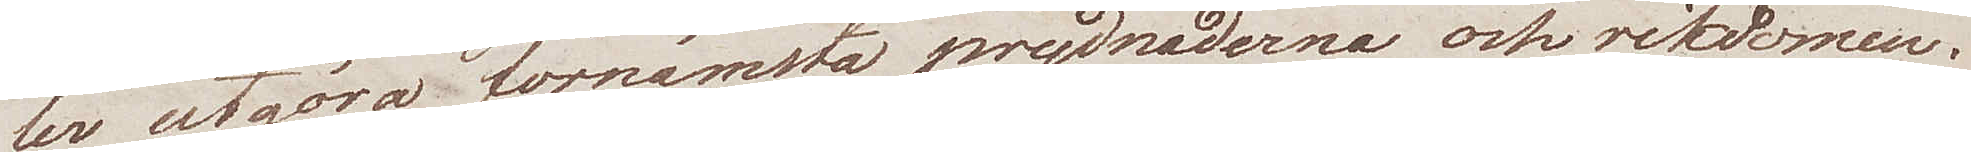ler utgöra förnämsta prydnaderna och rikdomen.
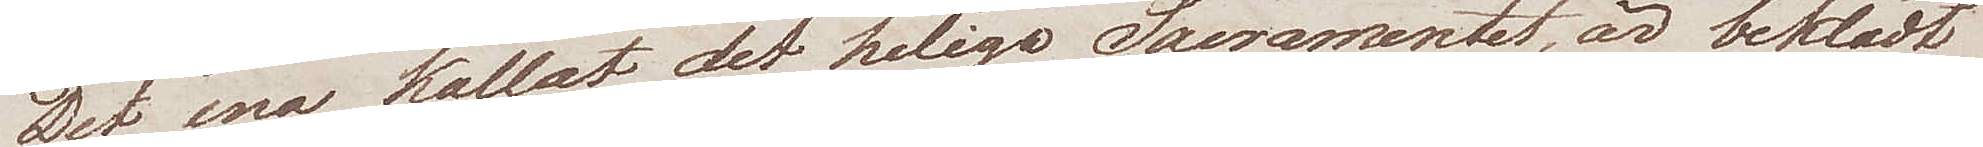Det ena kallas det heliga Sacramentet, är beklädt
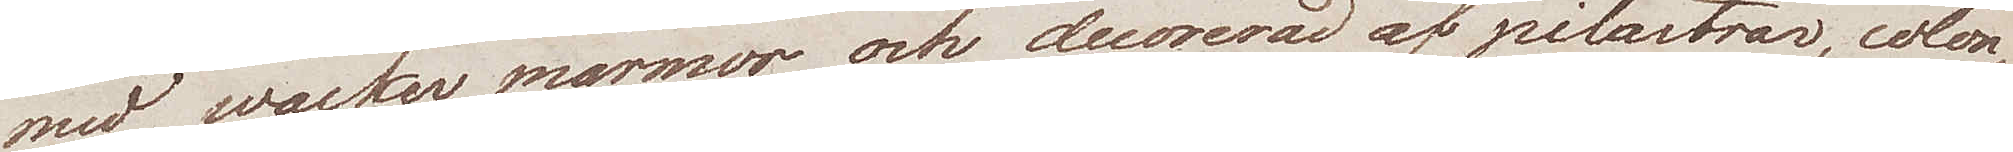med wacker marmor och decorerad af pilastrar, colon¬
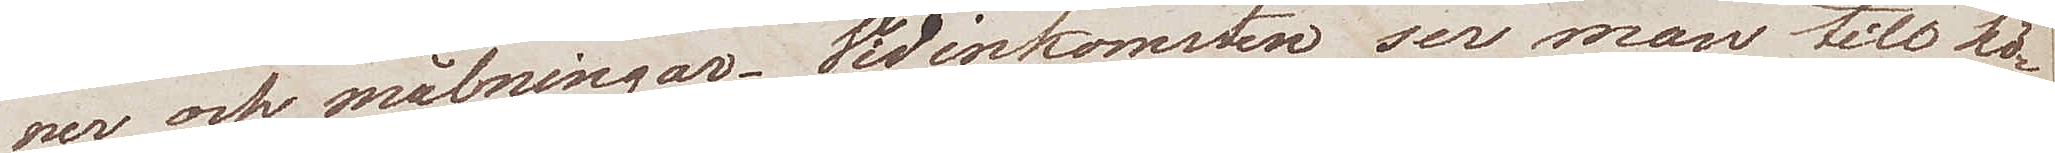ner och målningar. Vid inkomsten ser man till hö¬
